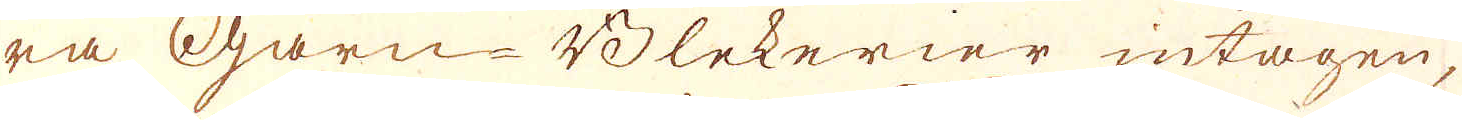ra Garn-Blekerier intagen,
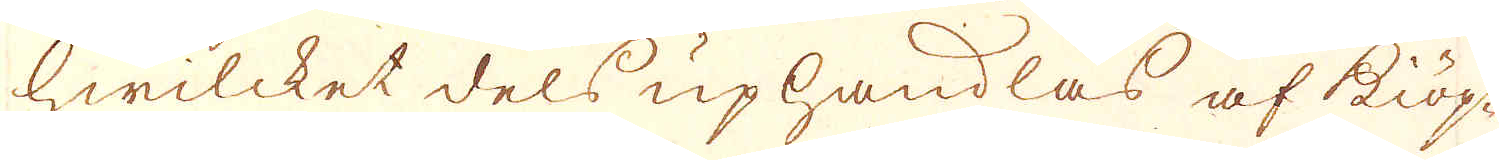hwilcket dels uphandlas af kiöp-
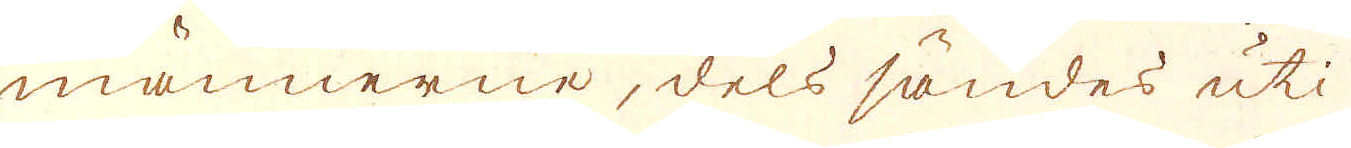männerne, dels sändes uti
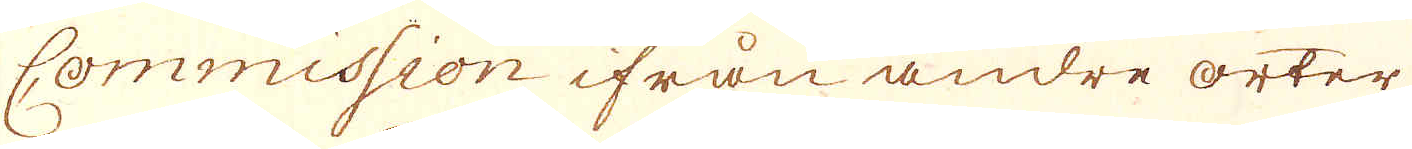Commission ifrån andre orter
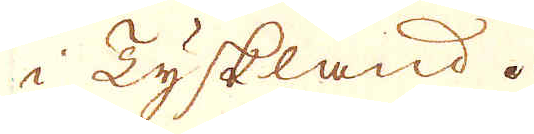i Tyskland.
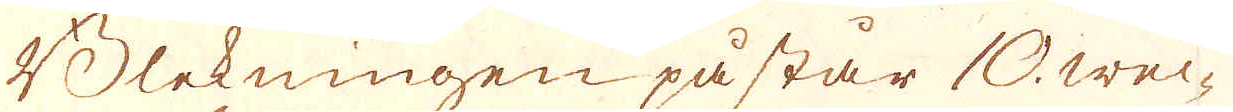Blekningen påstår 10. wec-
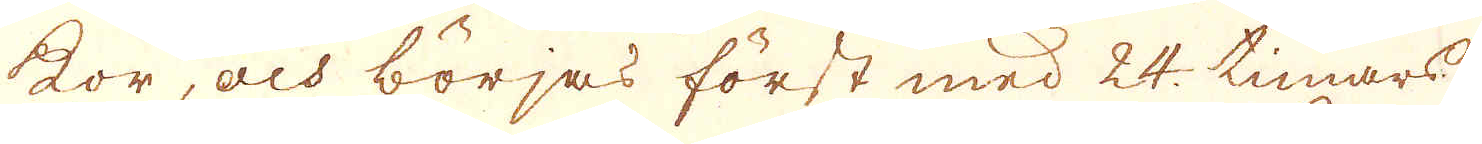kor, och börjas först med 24. timars
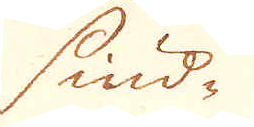siud-
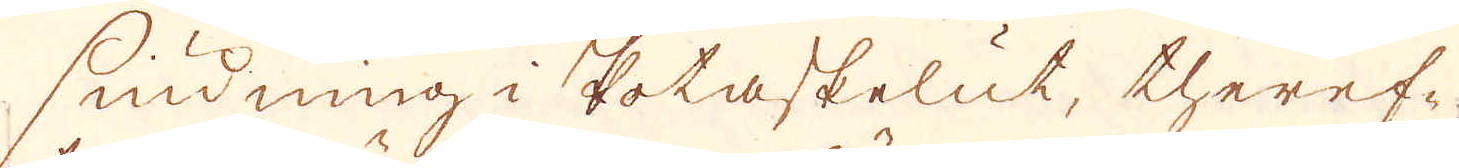siudning i Potaskelut, theref-
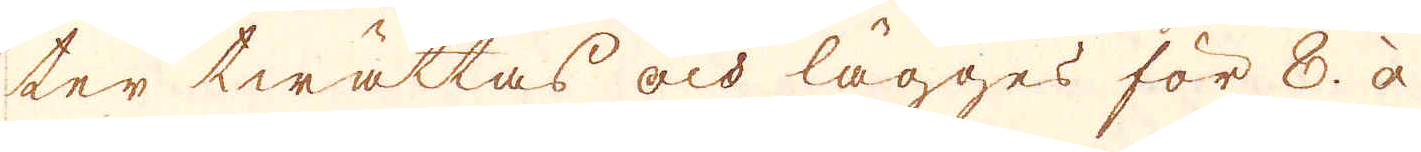ter twättas och lägges för 8. à
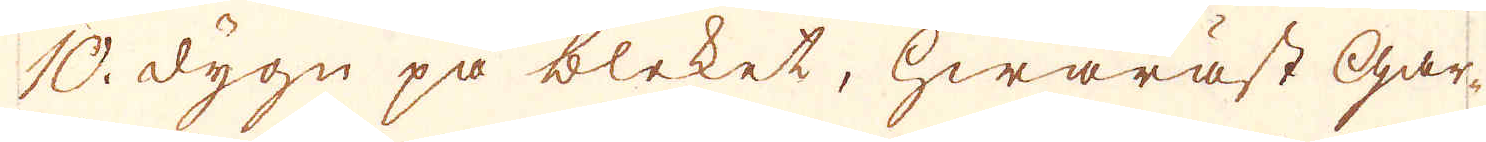10. dygn på bleket, hwaräst gar-
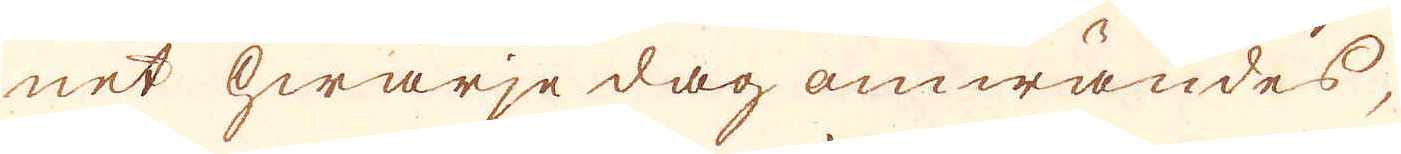net hwarje dag omwändes,
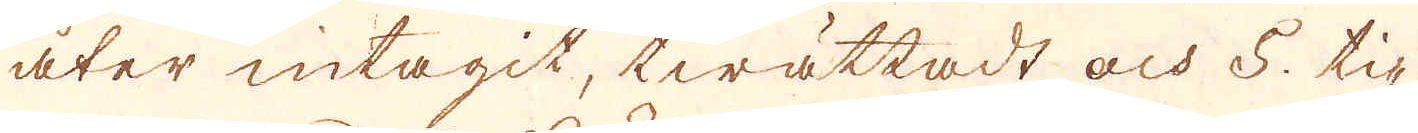åter intagit, twättadt och 5. ti-
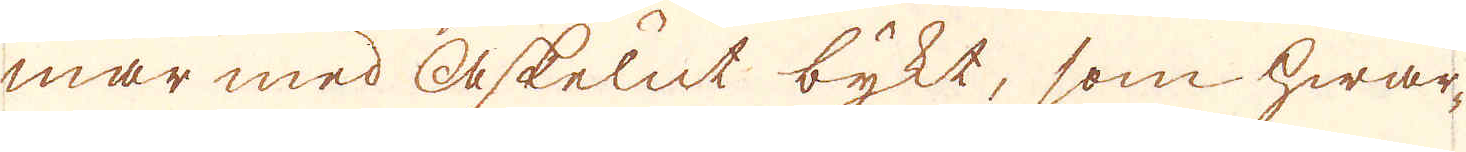mar med askelut bykt, som hwar-
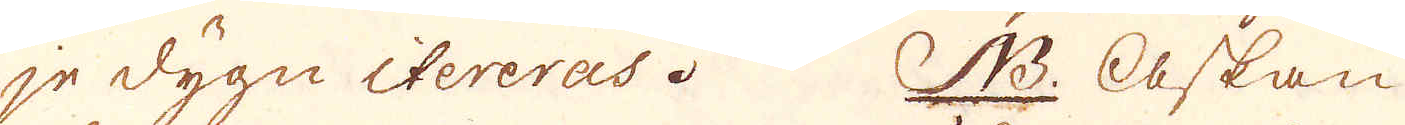je dygn itereras. N.B. Askan
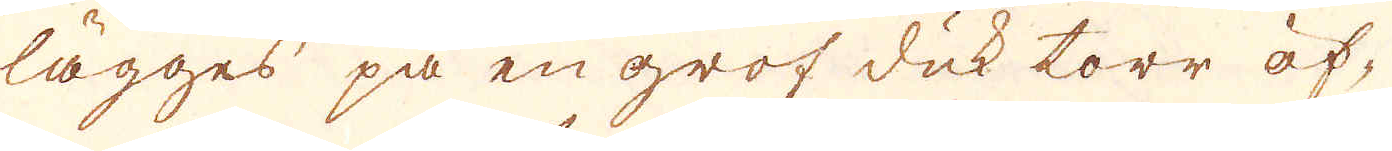lägges på en grof duk torr öf-
